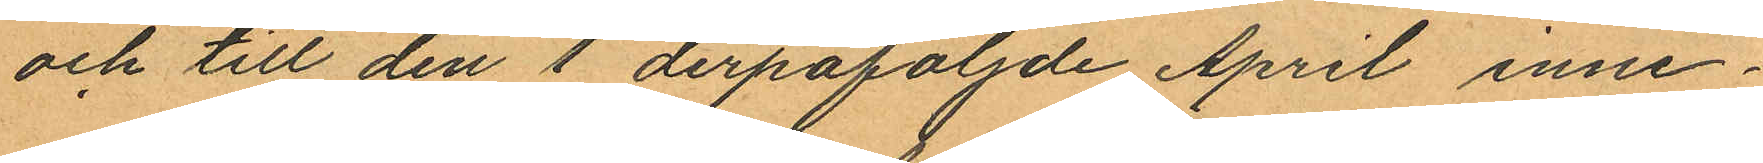och till den 1 derpåföljde April inne¬
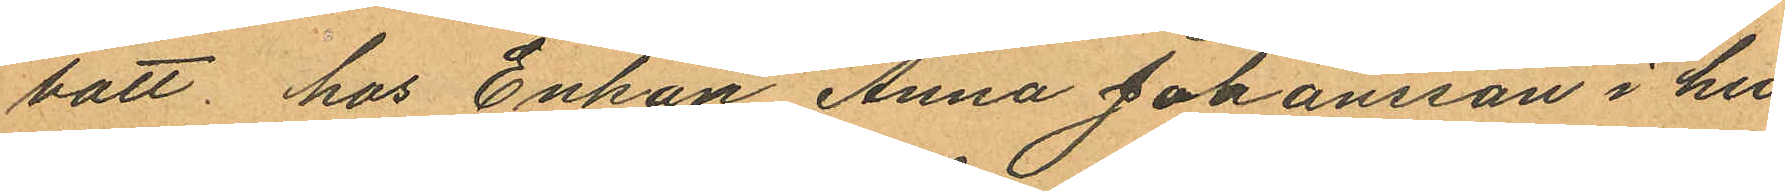bott, hos Enkan Anna Johansson i hu¬
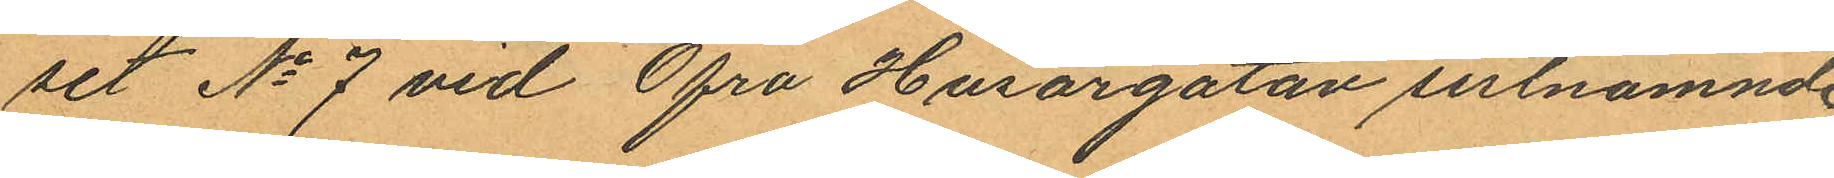set No 7 vid Öfra Husargatan sistnämnde
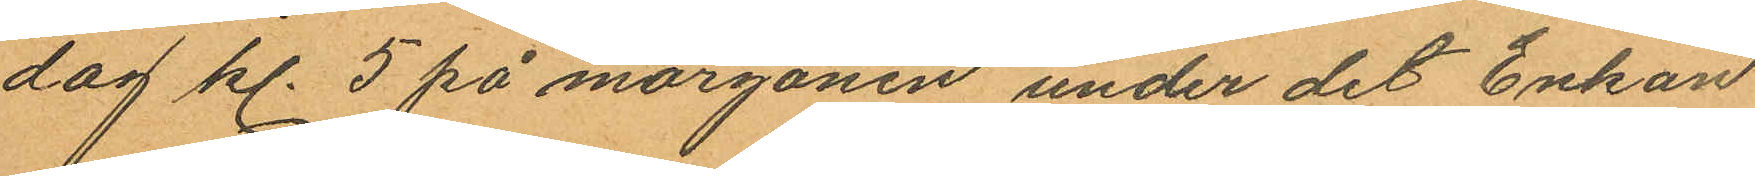dag kl. 5 på morgonen under det Enkan
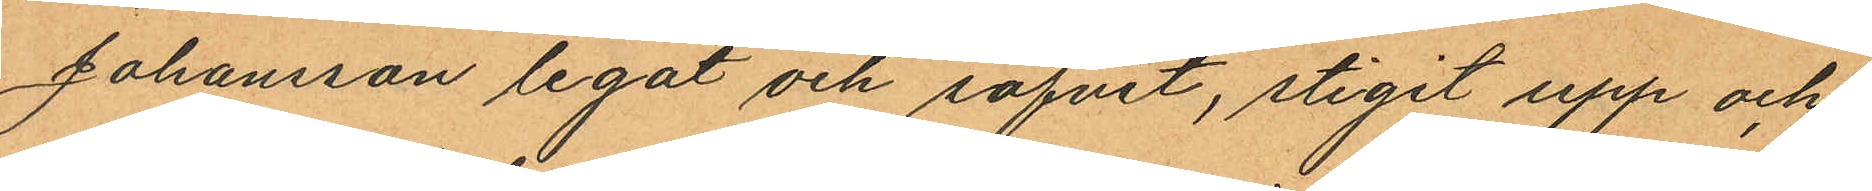Johansson legat och sofvit, stigit upp och
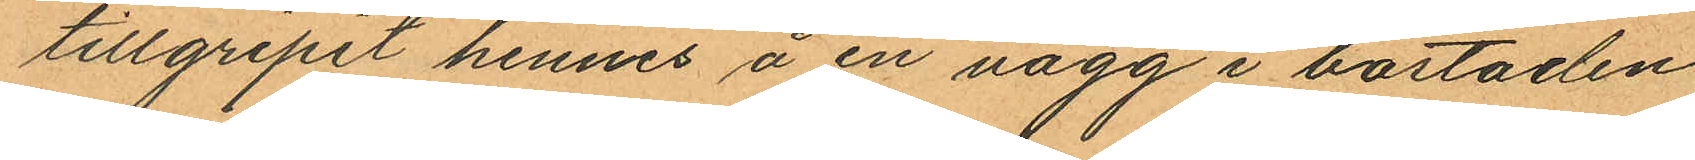tillgripit hennes å en vägg i bostaden
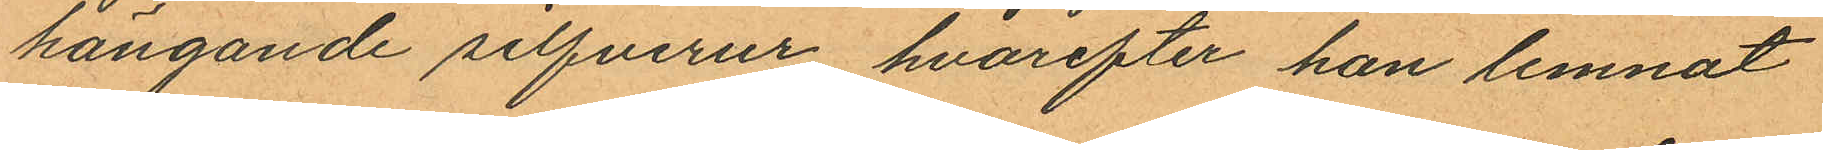hängande silfverur, hvarefter han lemnat
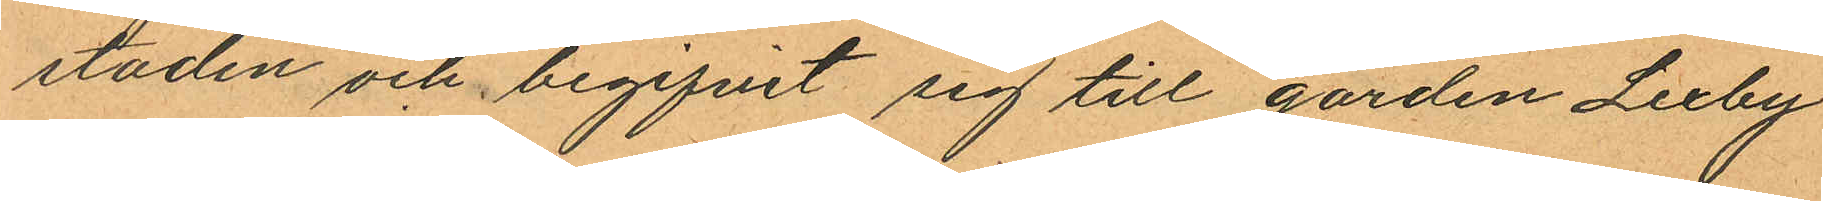staden och begifvit sig till gården Lexby
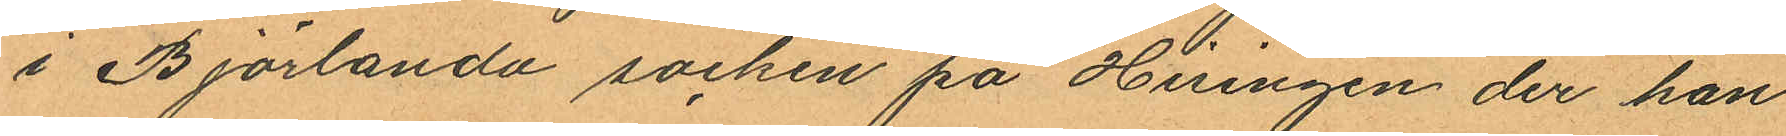i Björlanda socken på Hisingen der han
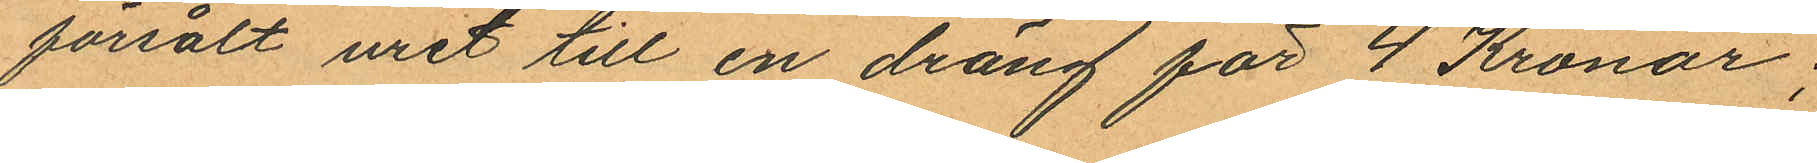försålt uret till en dräng för 4 Kronor;
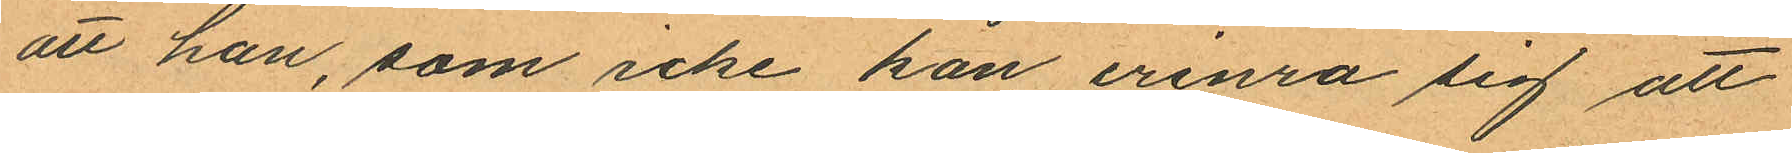att han, som icke kan erinra sig att
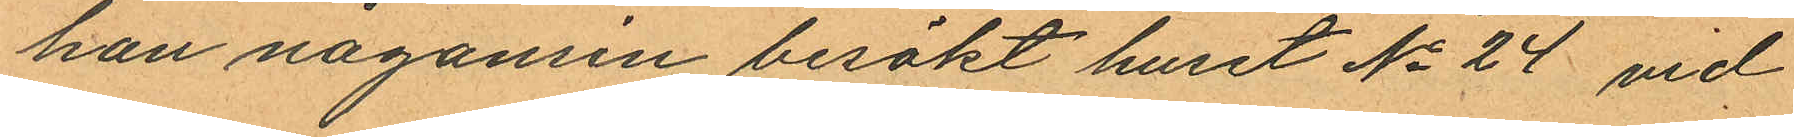han någonsin besökt huset No 24 vid
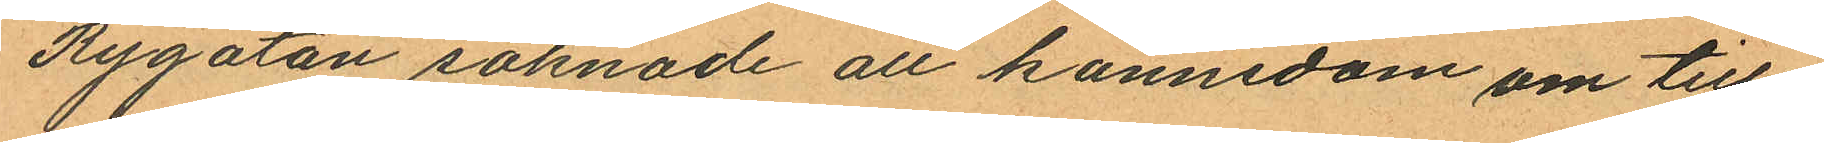Rygatan saknade all kännedom om till¬
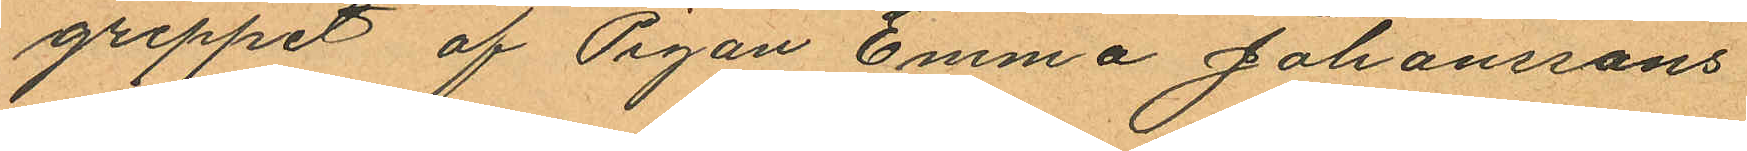greppet af Pigan Emma Johanssons
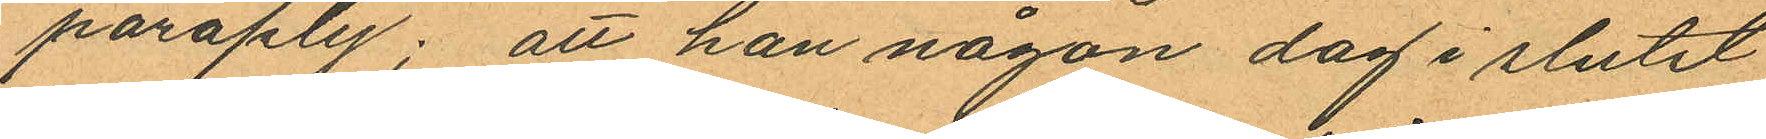paraply; att han någon dag i slutet
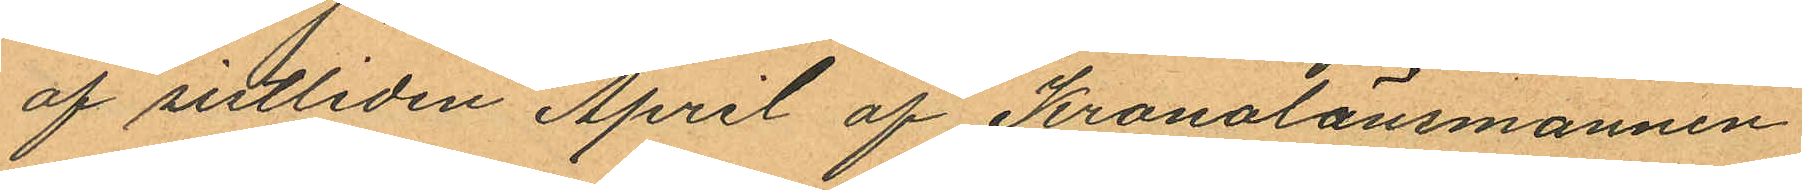af sistliden April af Kronolänsmannen
